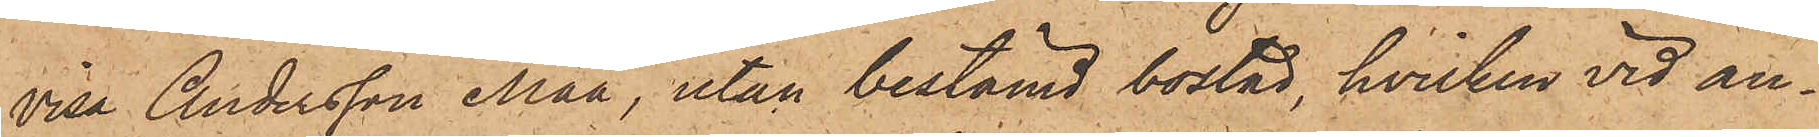visa Andersson Måå, utan bestämd bostad, hvilken vid an¬
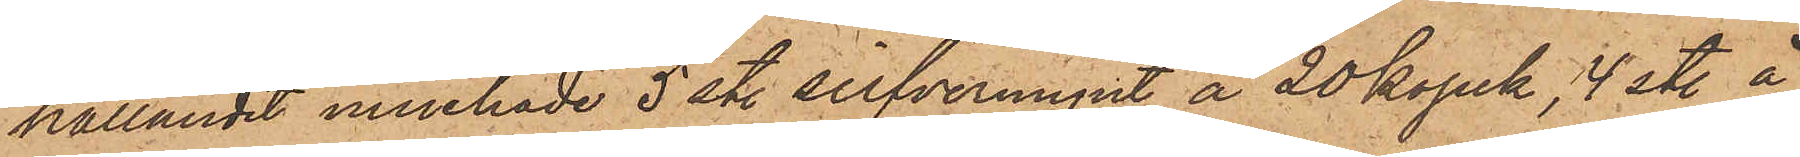hållandet innehade 5 sty. silfvermynt å 20 kopek, 4 sty. å
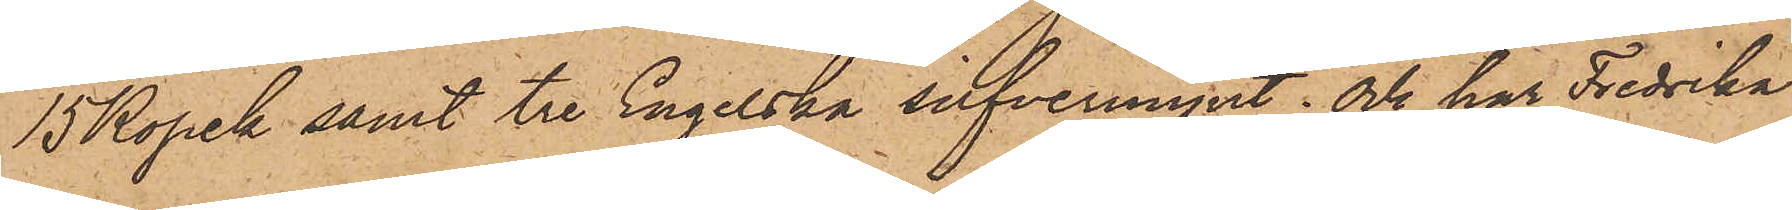15 Kopek samt tre Engelska silfvermynt; och har Fredrika
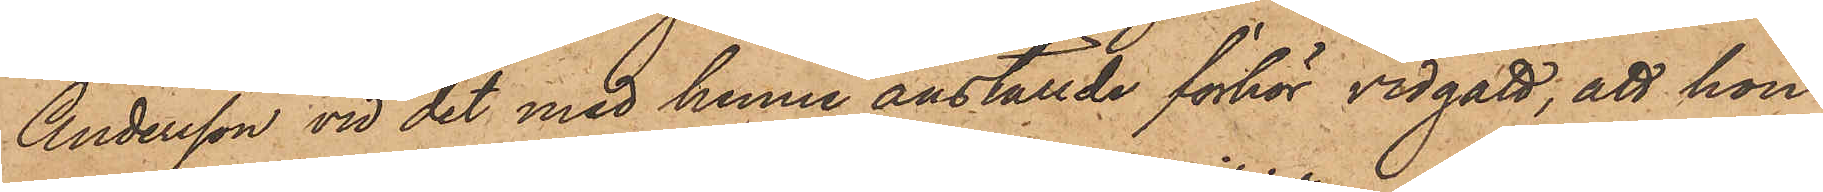Andersson vid det med henne anställde förhör vidgått, att hon
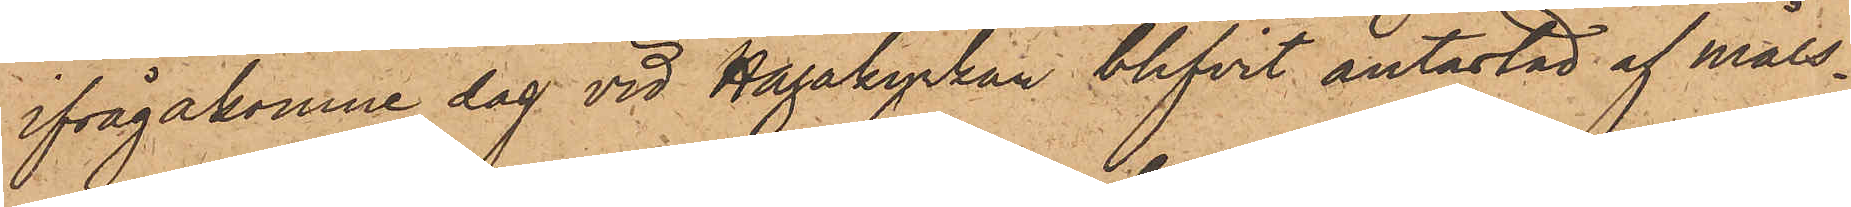ifrågakomne dag vid Hagakyrkan blifvit antastad af måls¬
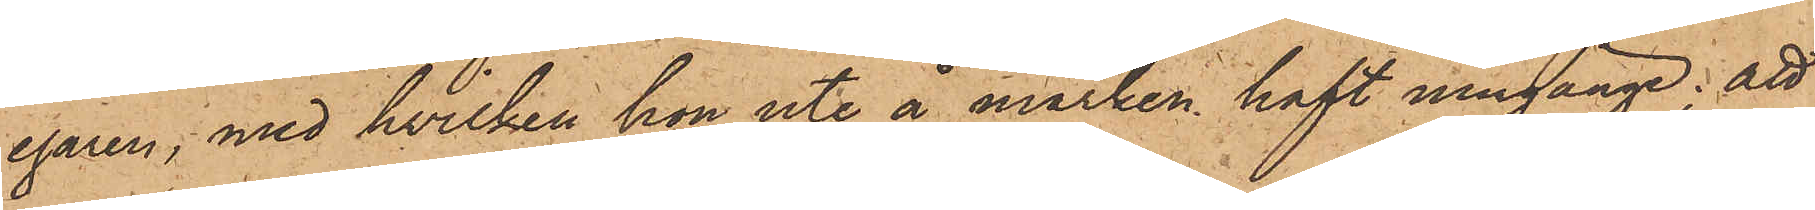egaren, med hvilken hon ute å marken haft umgänge; att
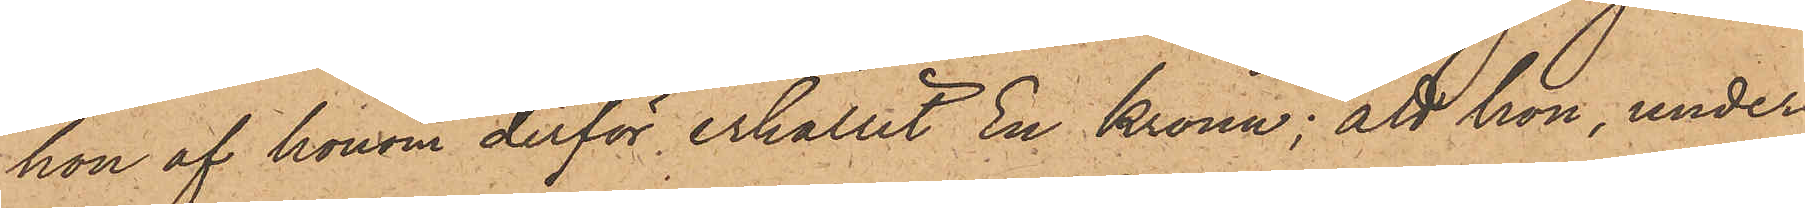hon af honom derför erhållit En Krona; att hon, under
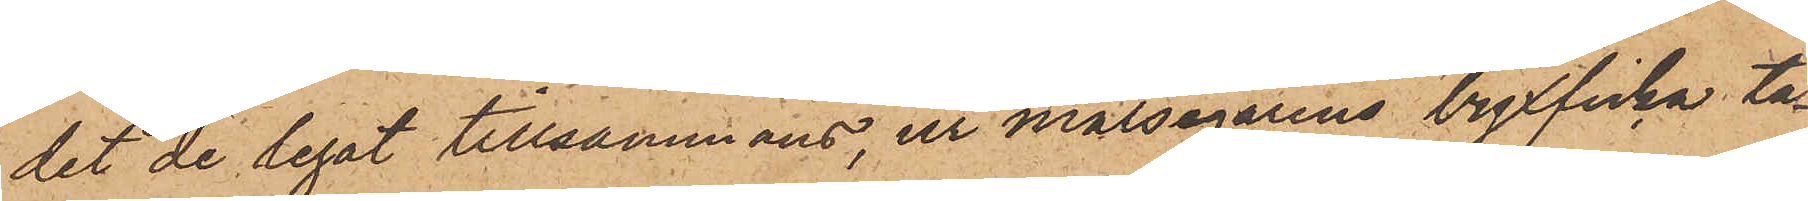det de legat tillsammans, ur målsegarens byxficka ta¬
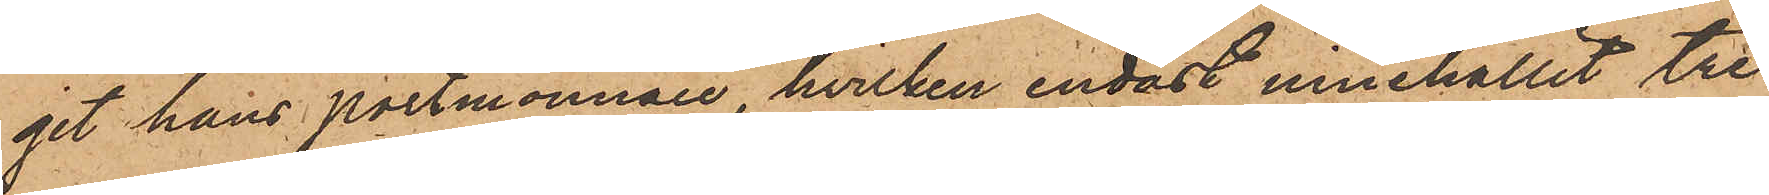git hans portmonnaie, hvilken endast innehållit tre
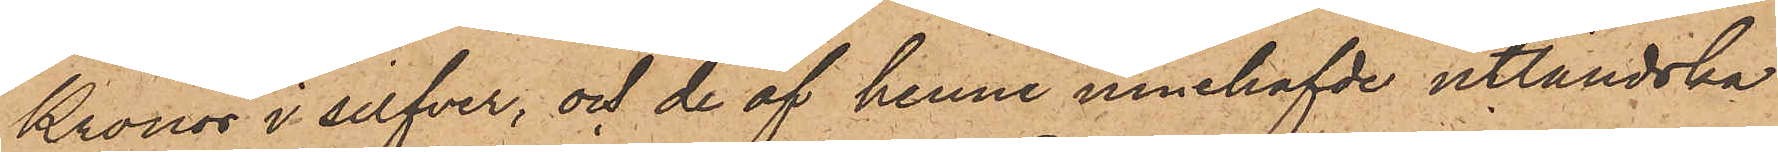Kronor i silfver, och de af henne innehafvde utländska
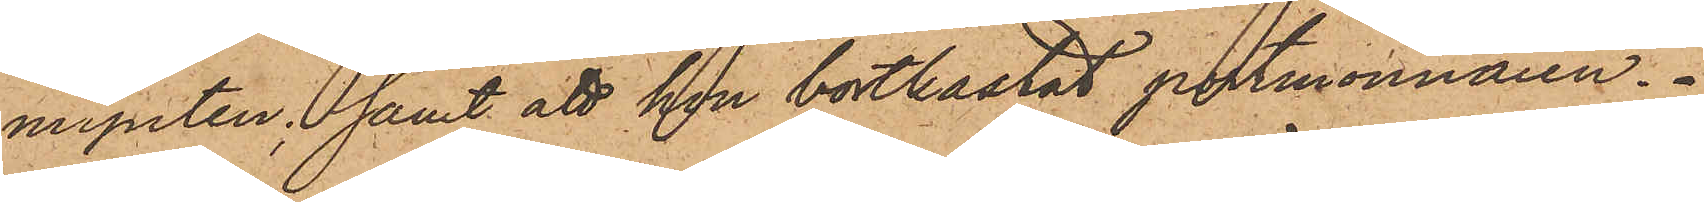mynten; samt att hon bortkastat portmonnaien.
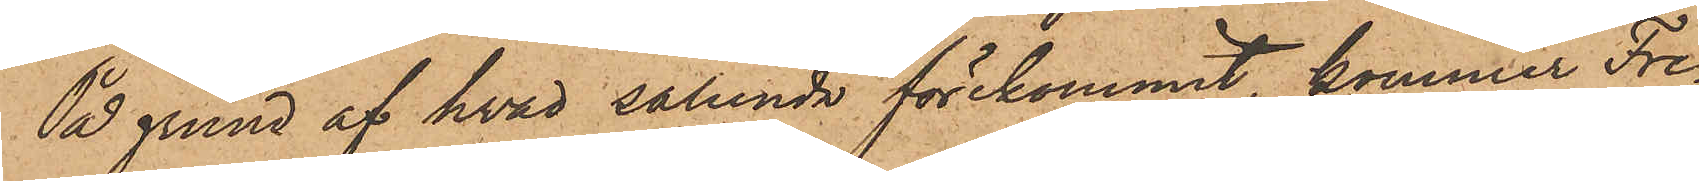På grund af hvad sålunda förekommit, kommer Fre¬
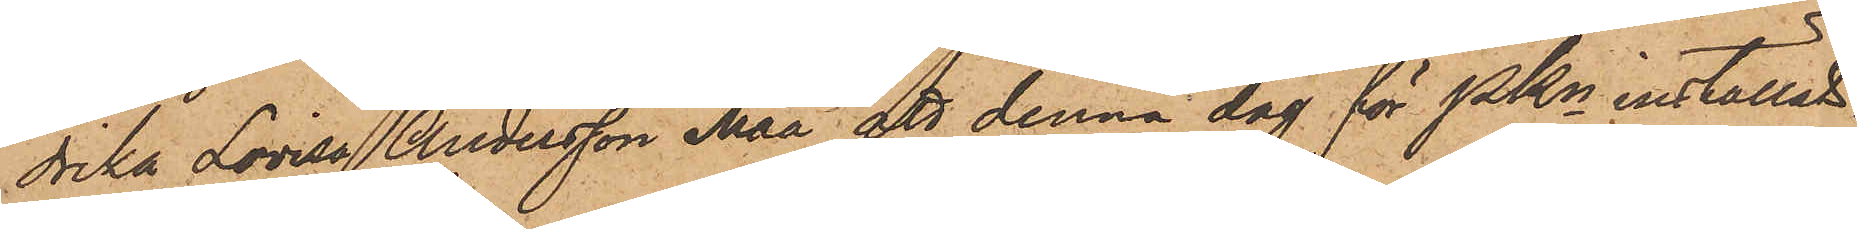drika Lovisa Andersson Måå att denna dag för PKn inställas.
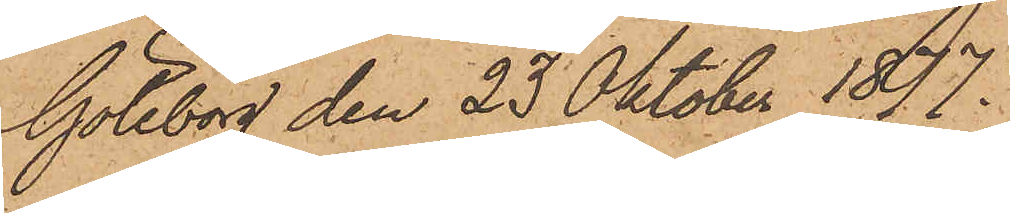Göteborg den 23 Oktober 1877.
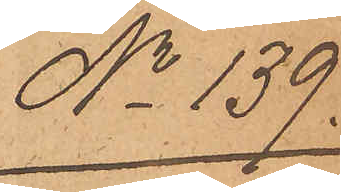No 139.
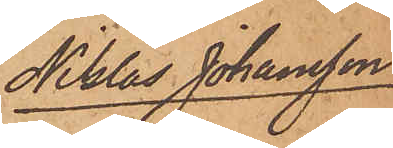Niklas Johansson
